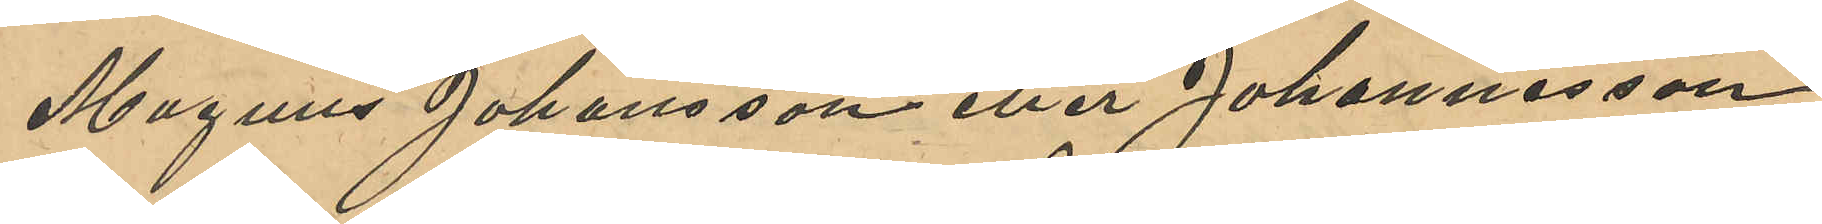Magnus Johannesson eller Johansson,
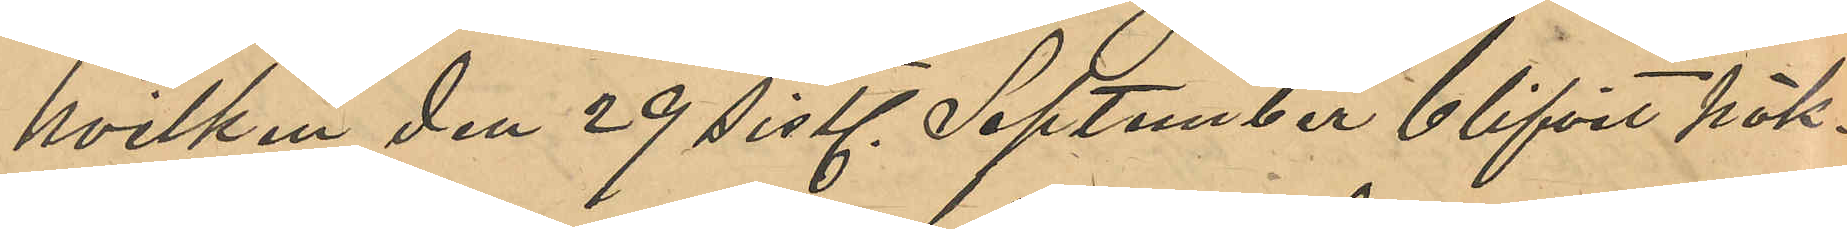hvilken den 29 sistl. September blifvit häk¬
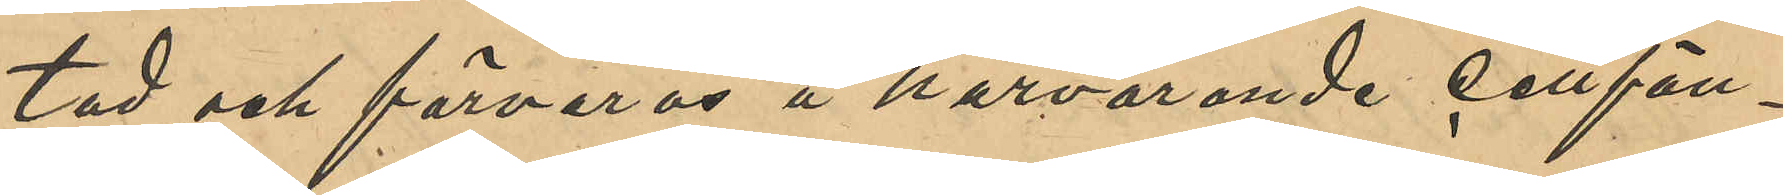tad och förvaras å härvarande cellfän¬
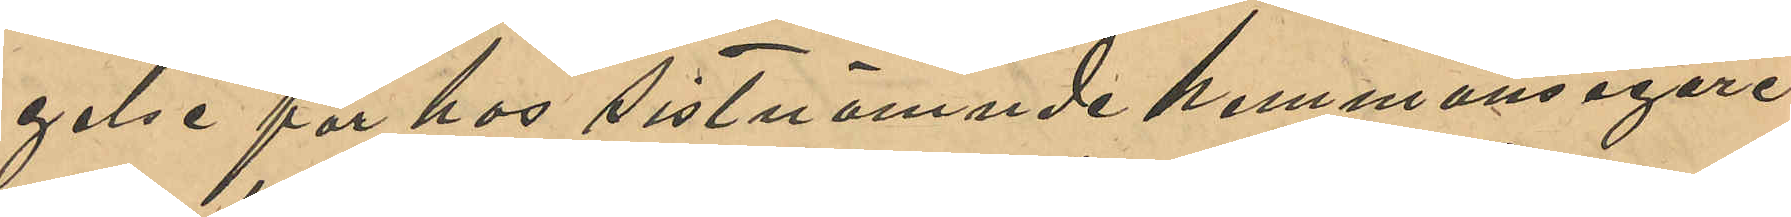gelse för hos sistnämnde hemmanegare
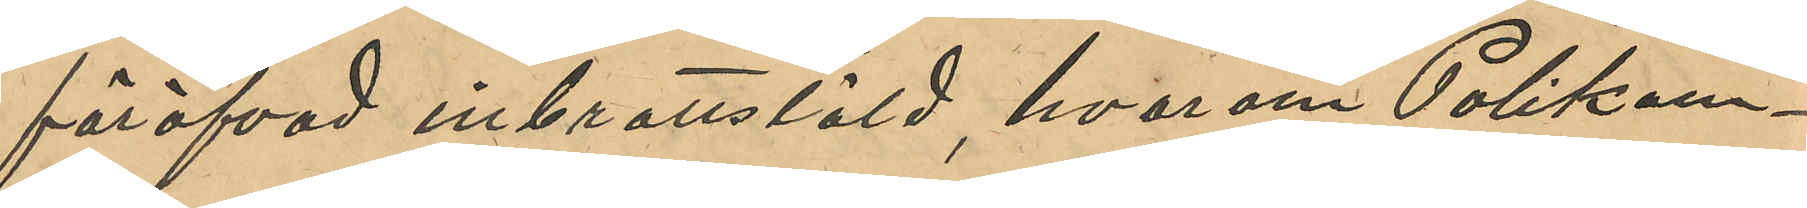föröfvad inbrottstöld, hvarom Poliskam¬
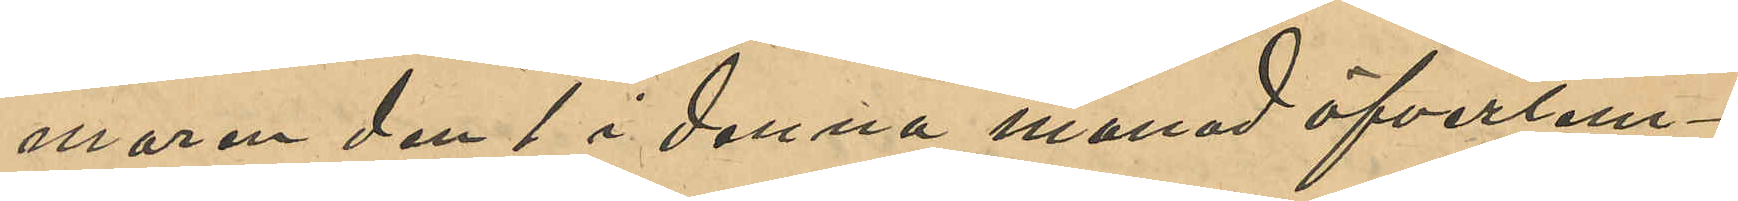maren den 1 i denna månad öfverlem¬
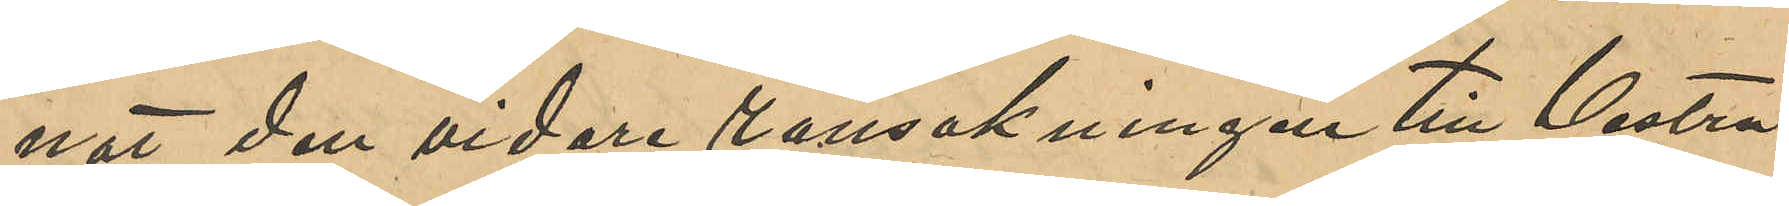nat den vidare ransakningen till Vestra
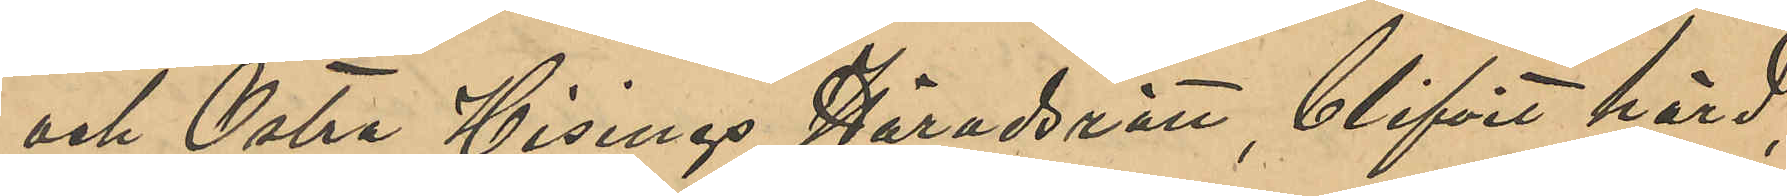och Östra Hisings Häradsrätt, blifvit hörd,
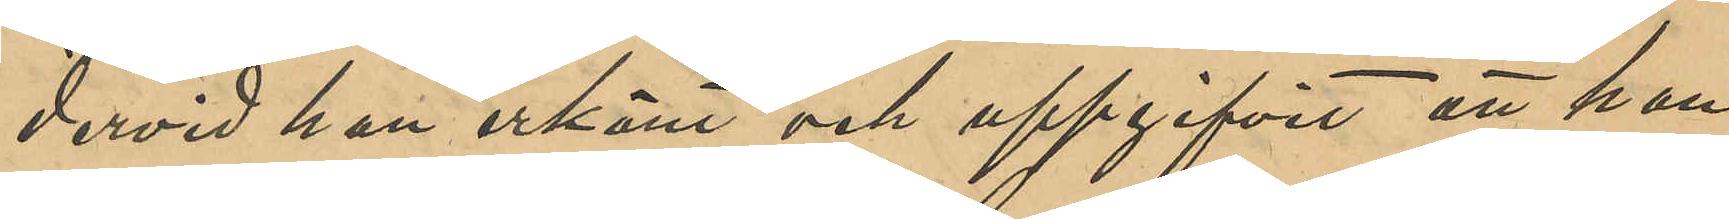dervid han erkänt och uppgifvit att han
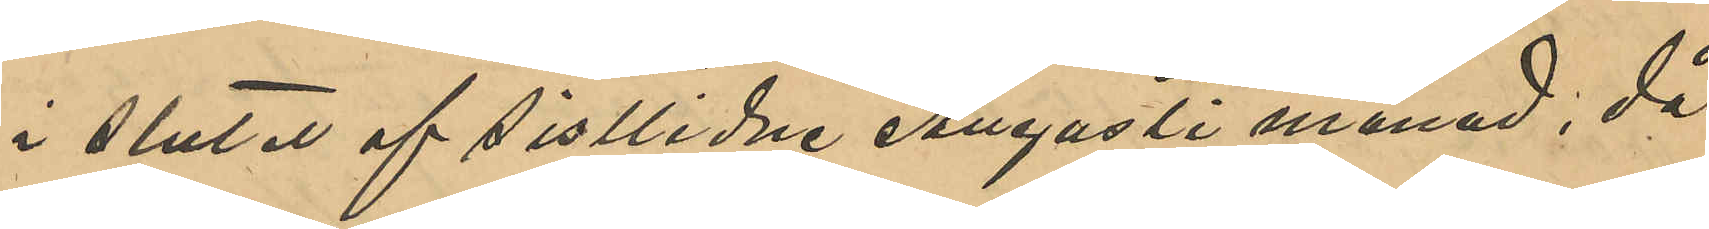i slutet af sistlidne Augusti månad, då
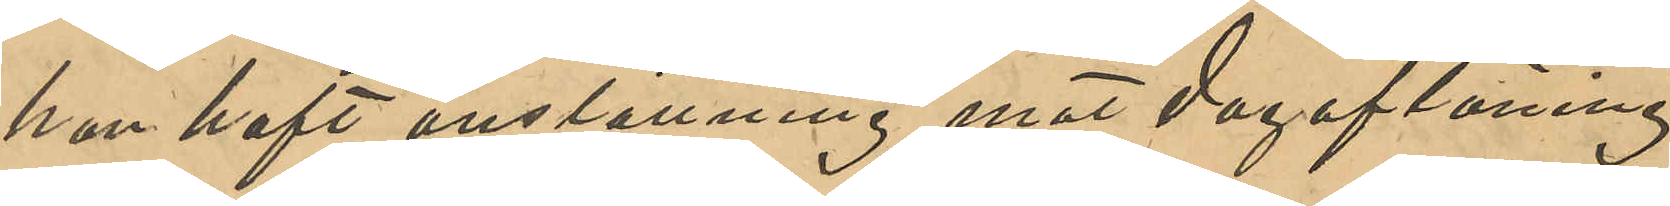han haft anställning mot dagaflöning
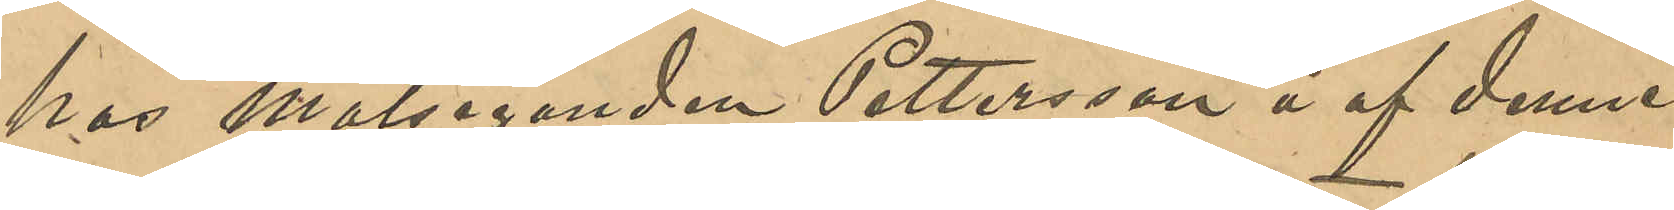hos målseganden Pettersson å af denne
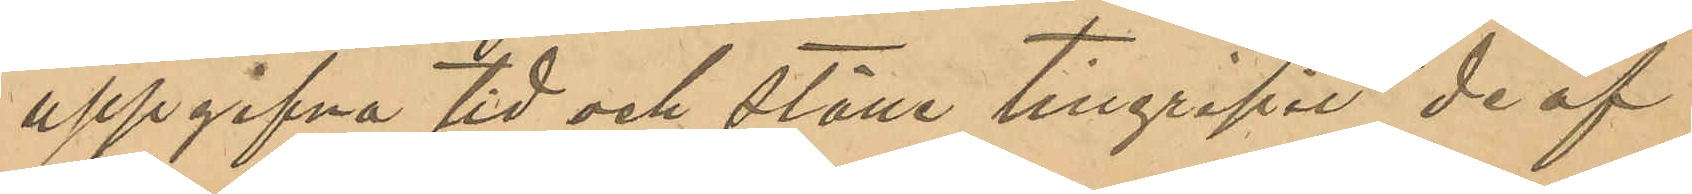uppgifna tid och ställe tillgripit de af
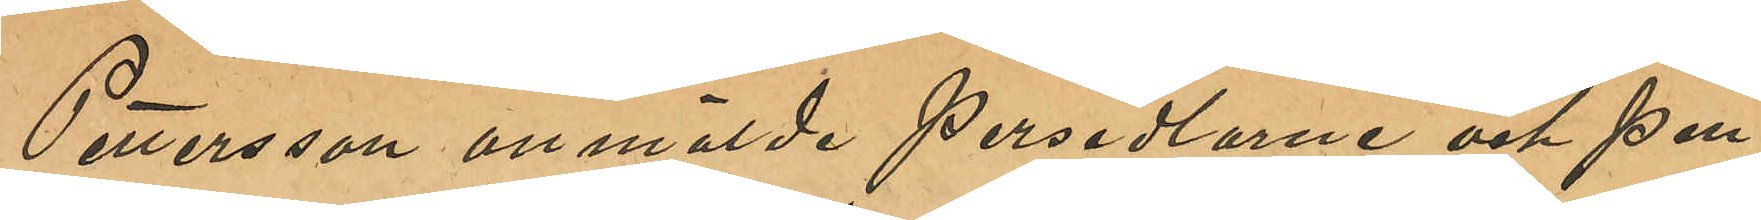Pettersson anmälde persedlarne och pen¬
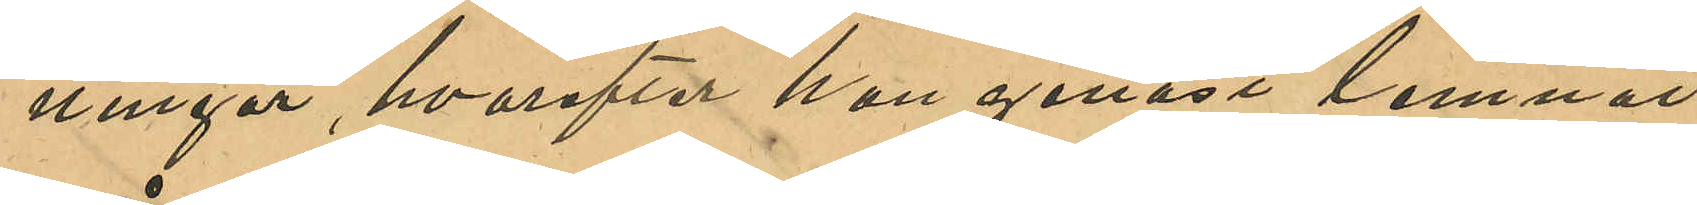ningar, hvarefter han genast lemnat
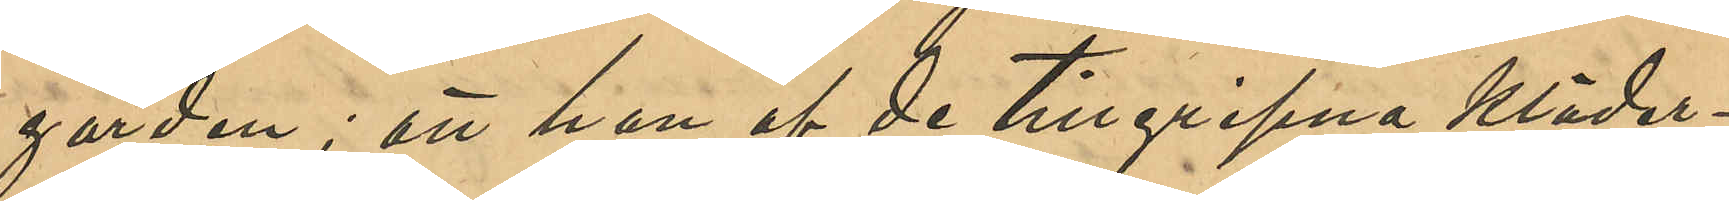gården; att han af de tillgripna kläder¬
